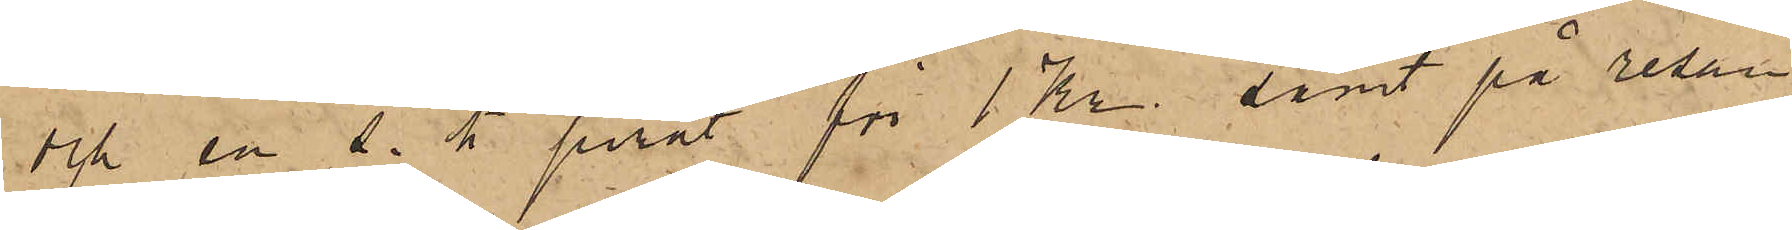och en s. k. pirat för 1 Kr. samt på resan
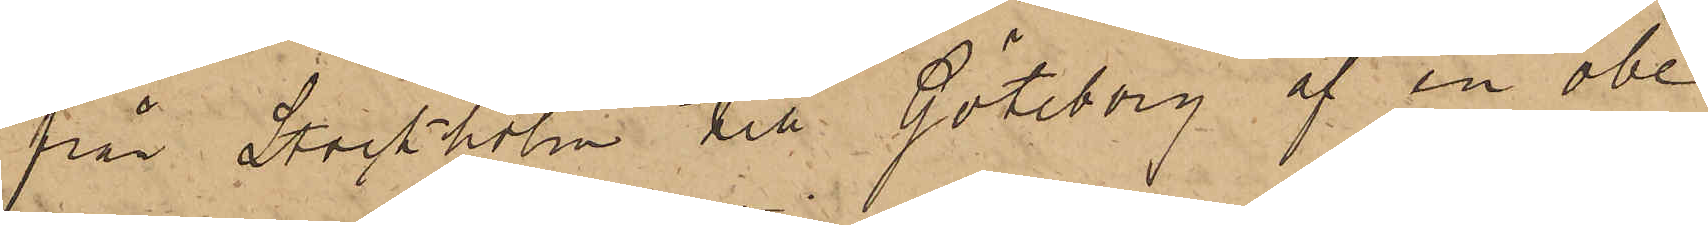från Stockholm till Göteborg af en obe¬
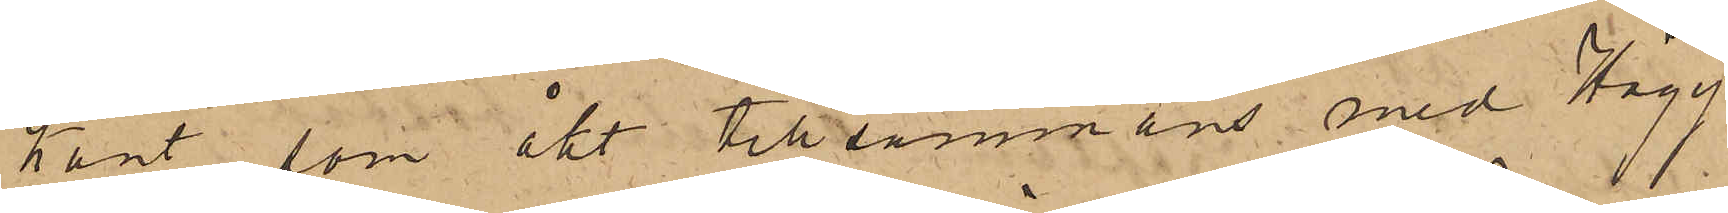kant, som åkt tillsammans med Hägg¬
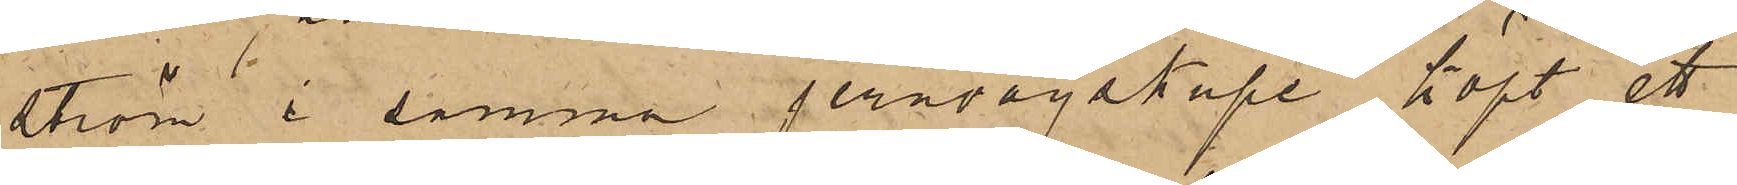ström i samma jernvägskupé köpt ett
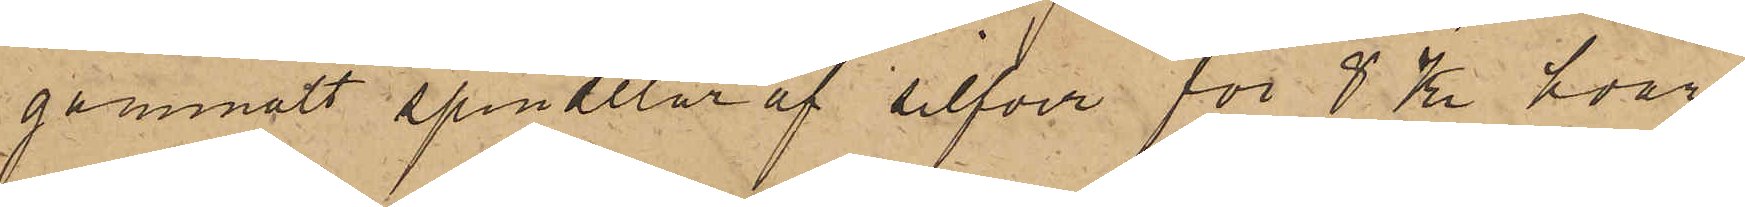gammalt spindelur af silfver för 8 Kr, hvar¬
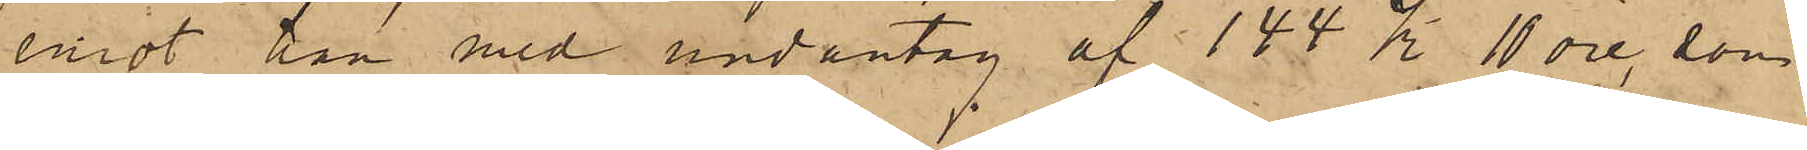emot han med undantag af 144 Kr. 10 öre, som
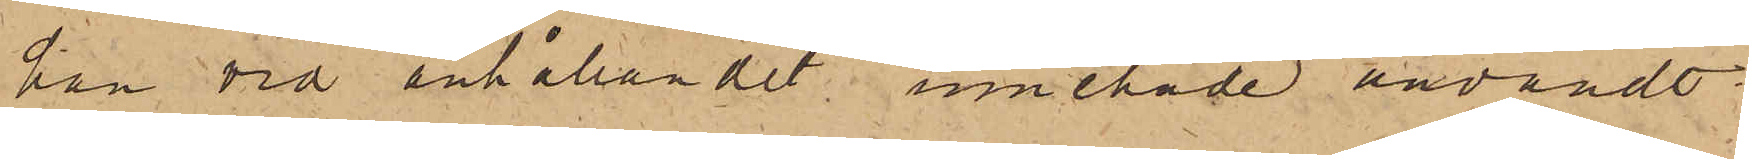han vid anhållandet innehade användt
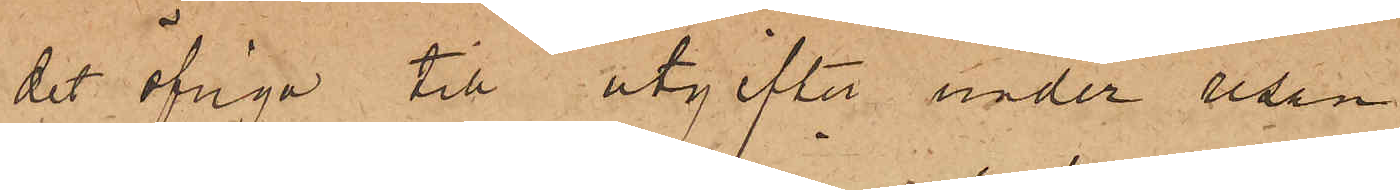det öfriga till utgifter under resan.
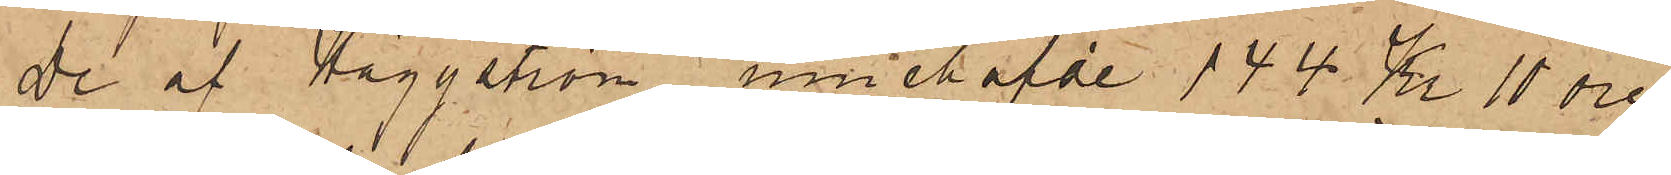De af Häggström innehafde 144 Kr. 10 öre,
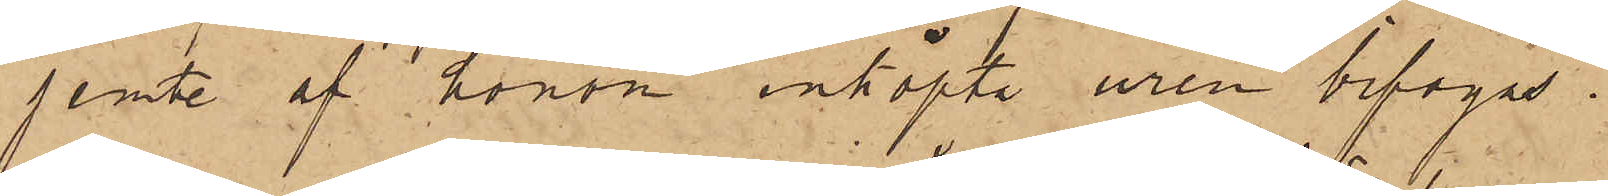jemte af honom inköpte uren bifogas.
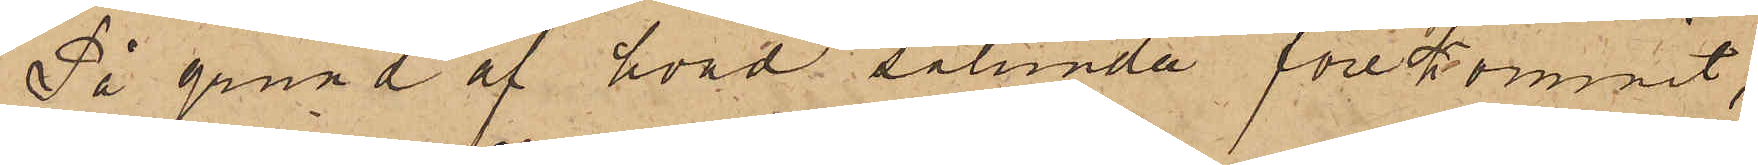På grund af hvad sålunda förekommit,
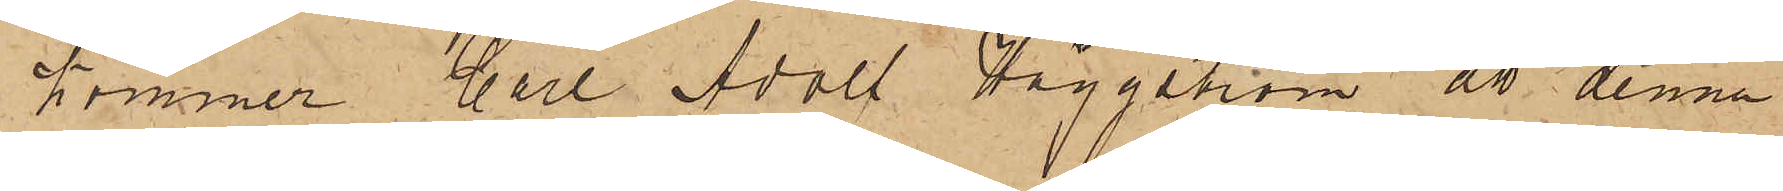kommer Carl Adolf Häggström att denna
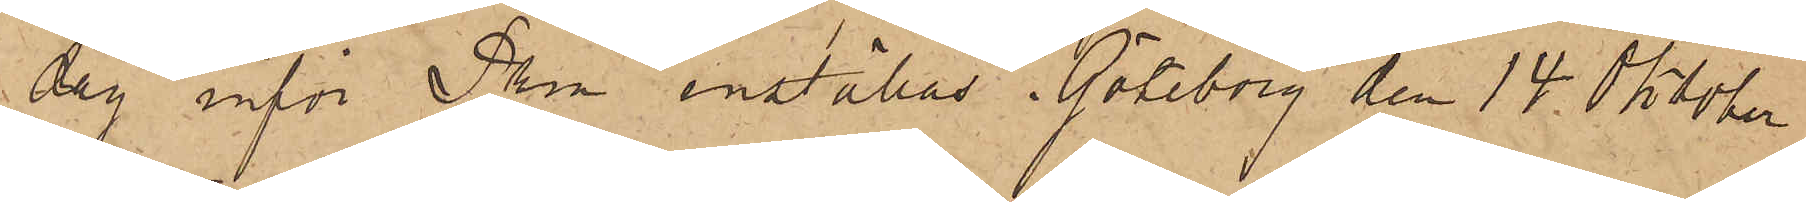dag inför Pkn inställas. Göteborg den 14 Oktober
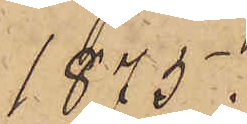1875.
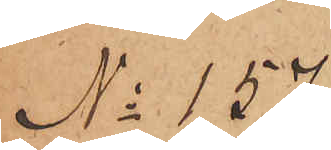No 157.
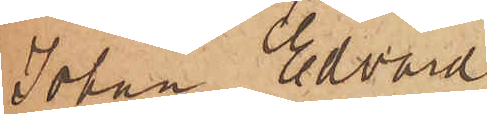Johan Edvard
